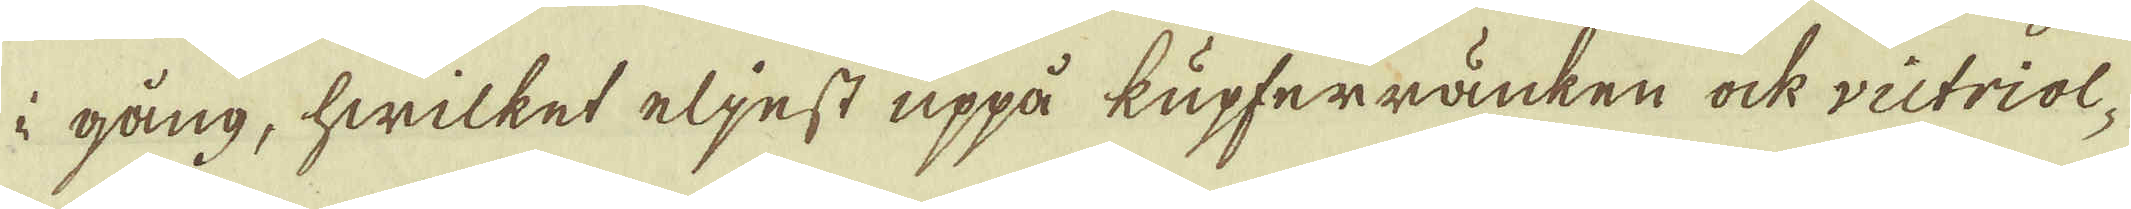i gång, hwilket eljest uppå lupferränken ock victriol
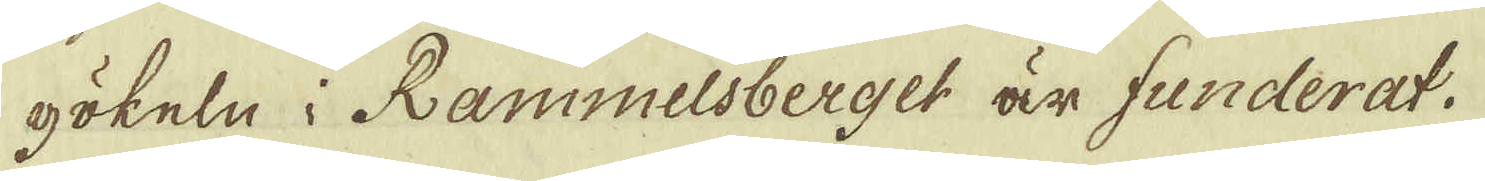pökeln i Rammelsberget är funderat.
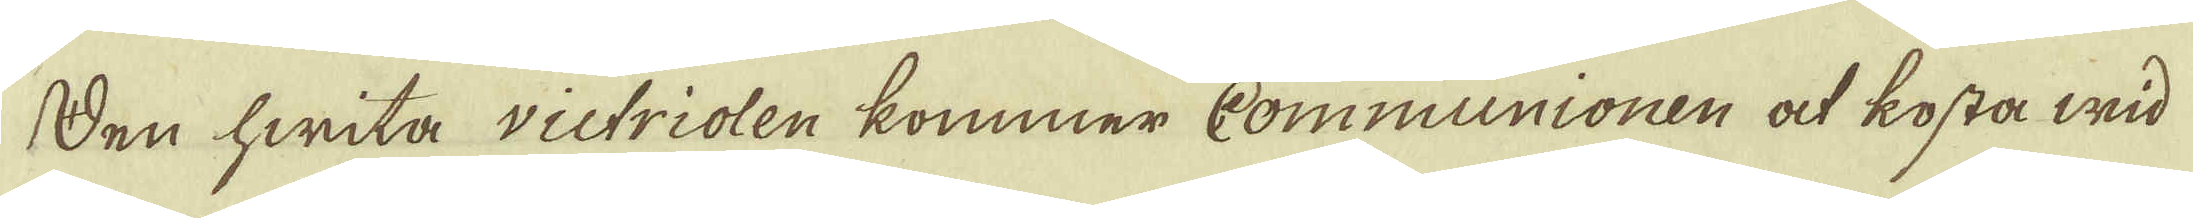Den hwita victriolen kommer Communionen at kosta wid
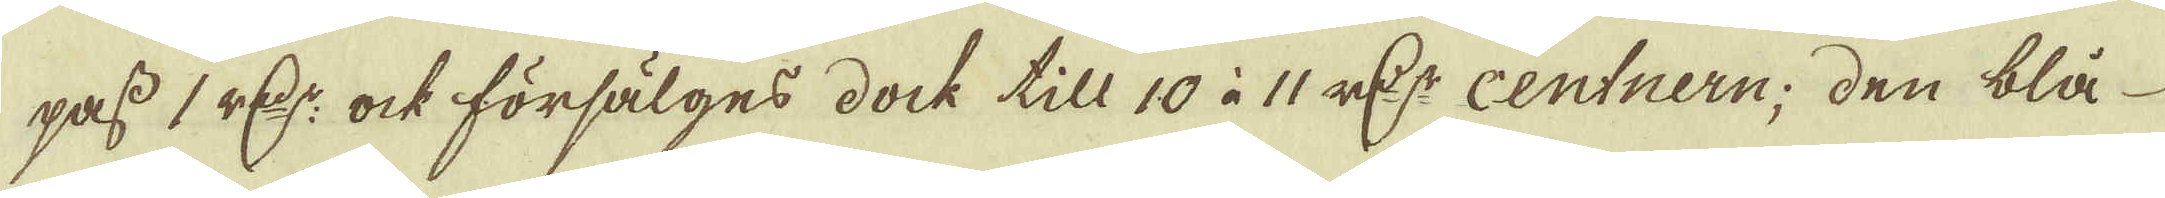pass 1 r:dr ock försälges dock till 10 à 11 r:dr centnern, den blå
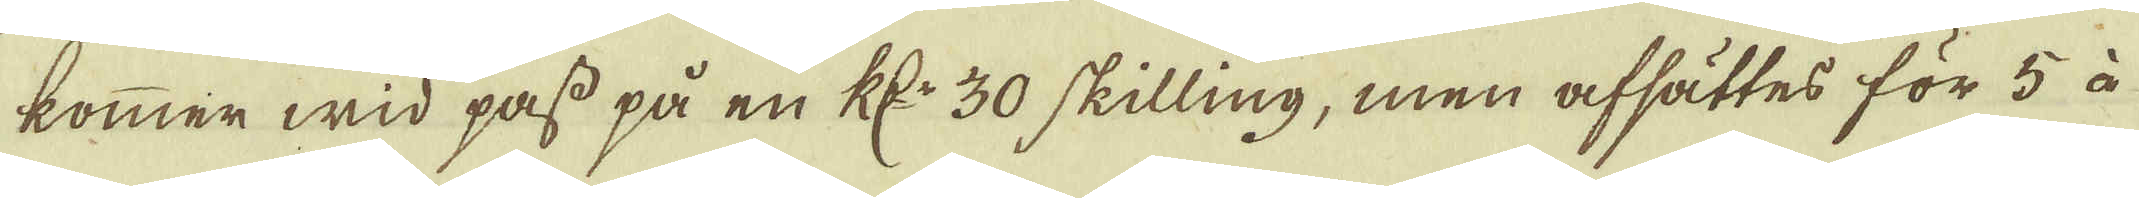kommer wid pass på en R:dr 30 skilling, men afsättes för 5 à
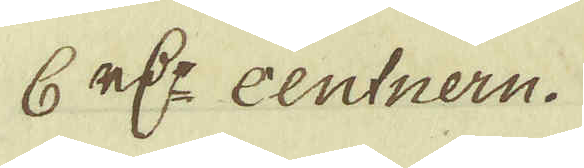6 r:dr centnern.
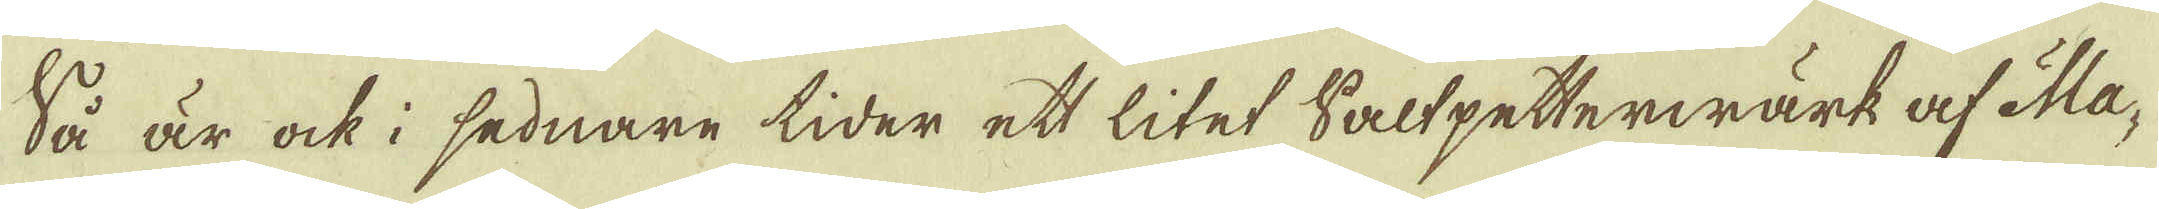Så är ock sednare tider et litet Saltpetterwärk af Ma-
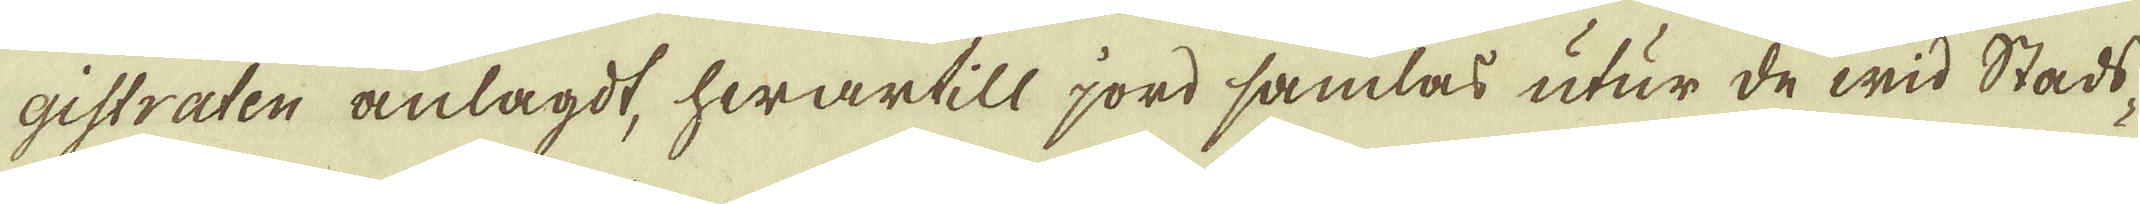gistraten anlagdt, hwartill jord samlas utur de wid Stads
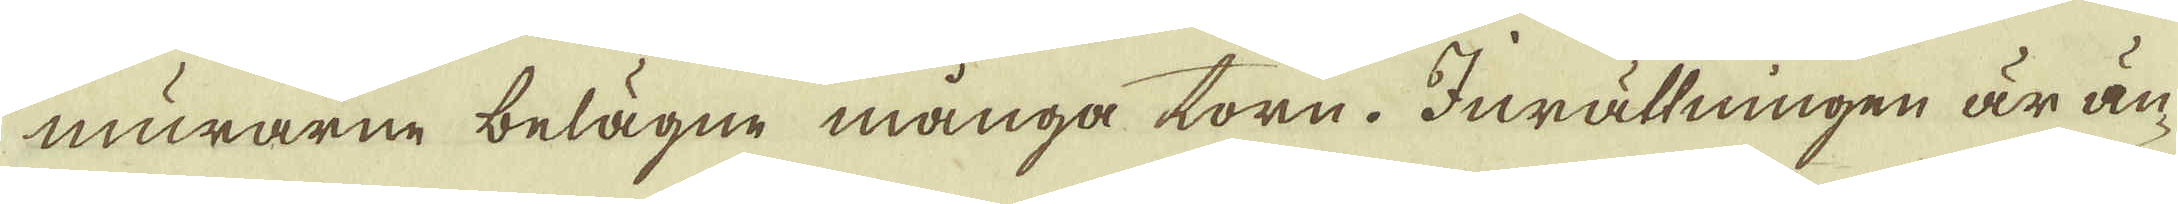murarne belägne många torn. Inrättningen är än-
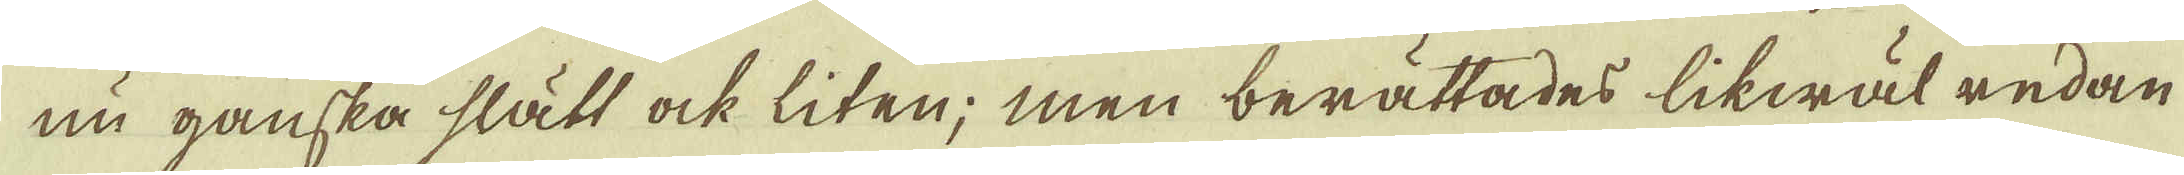nu ganska slätt ock liten; men berättades likwäl redan
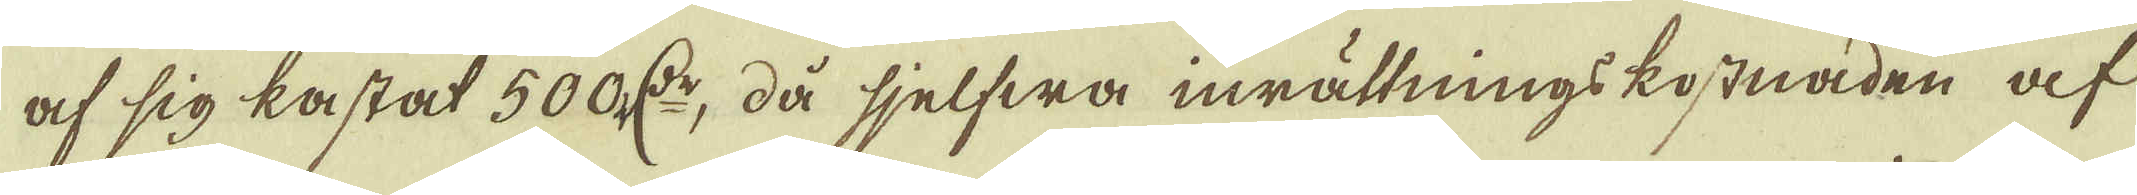af sig lastat 500 r:dr, då sjelfwa inrättnings kostnaden af
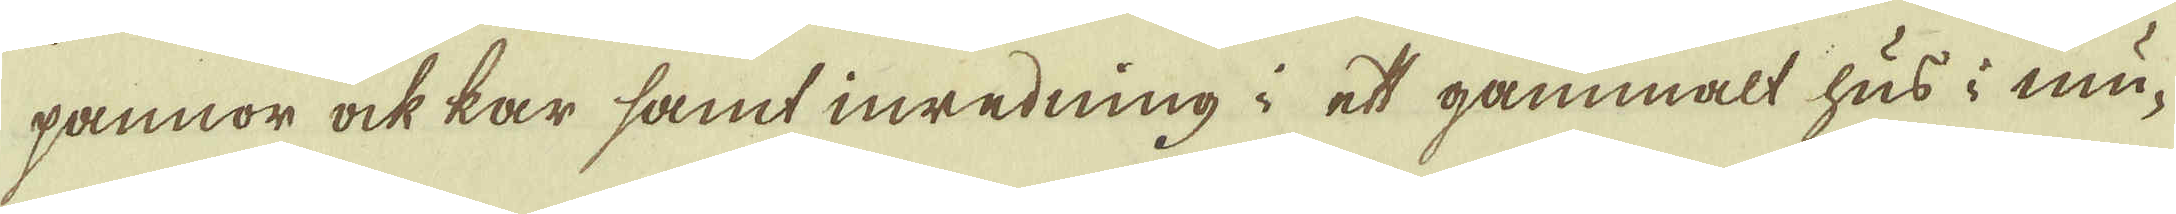pannor ock kar samt inredning i ett gammalt hus i mu-
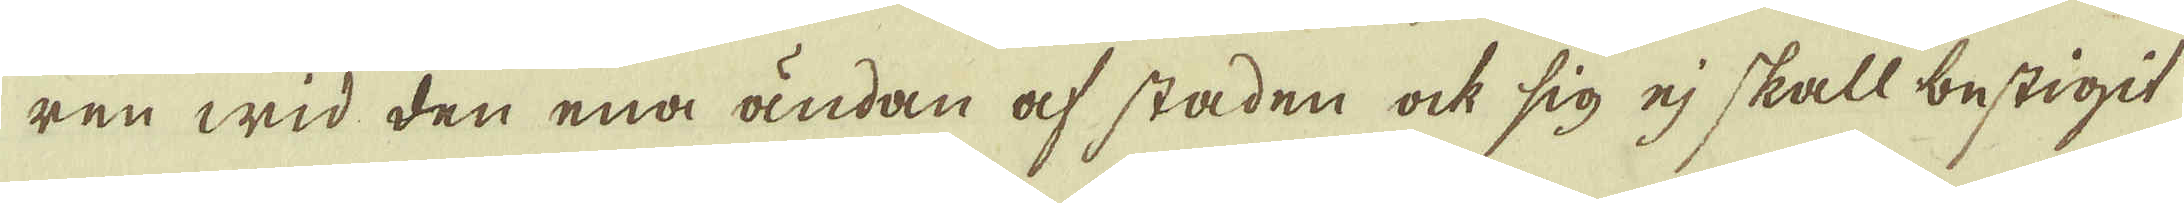ren wid den ena ändan af staden ock sig ej skall bestigit
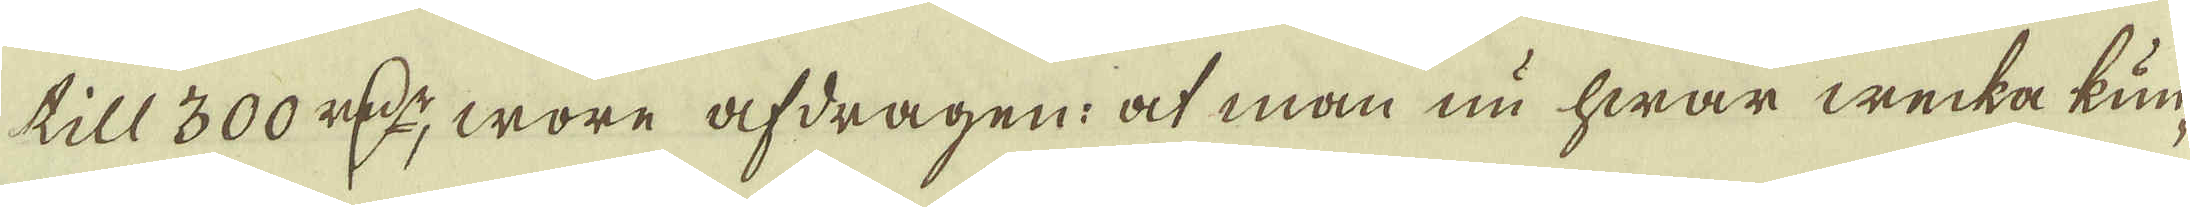till 300 r:dr, wore afdragen: at man nu hwar wecka kun-
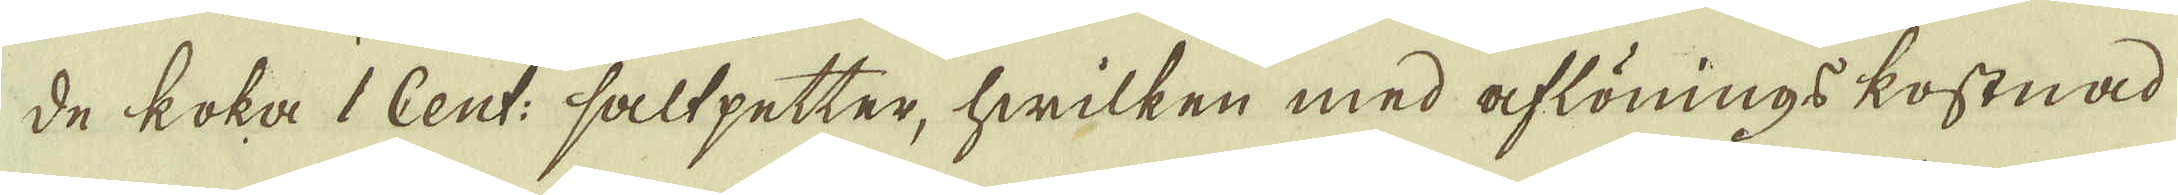de koka 1 Cent: saltpetter, hwilken med aflönings kostnad
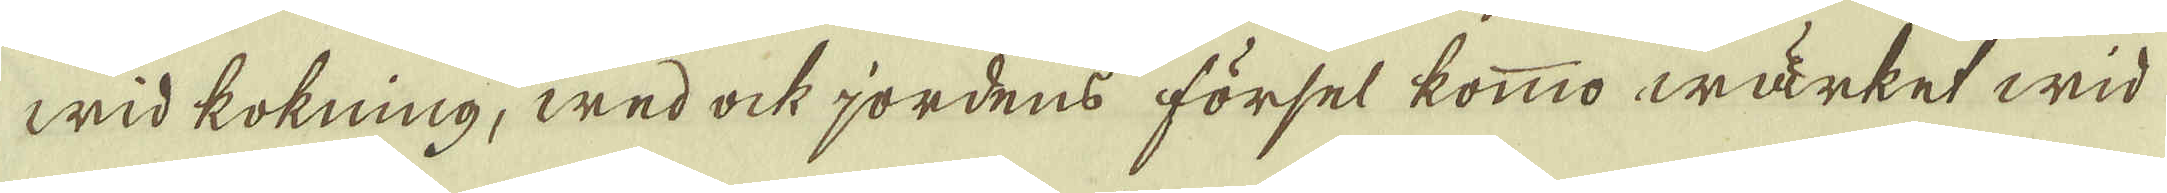wid kokning, wed ock jordens försel kommo wärket wid
